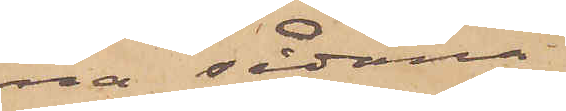na sådana
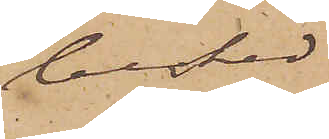besked
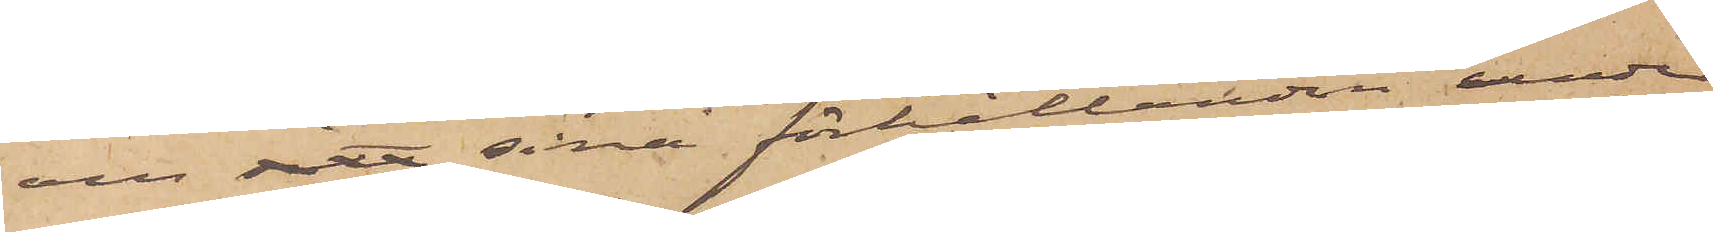om sitt sina förhållanden under
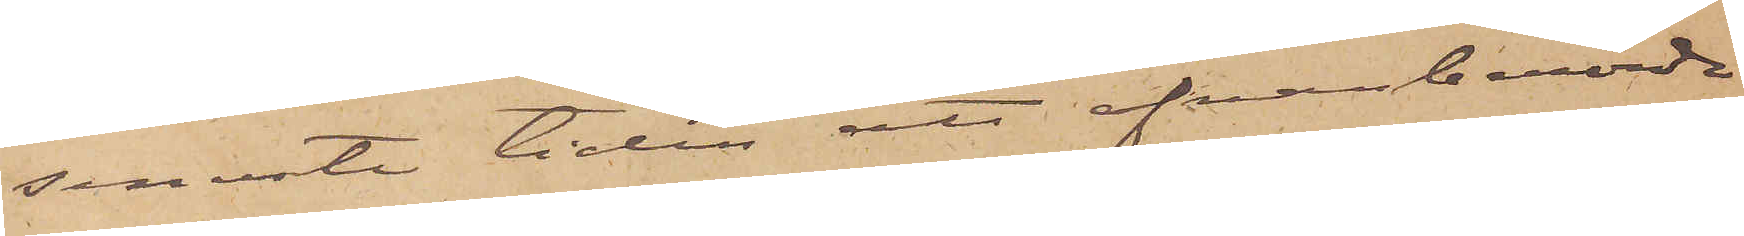senaste tiden att ofvanberörde
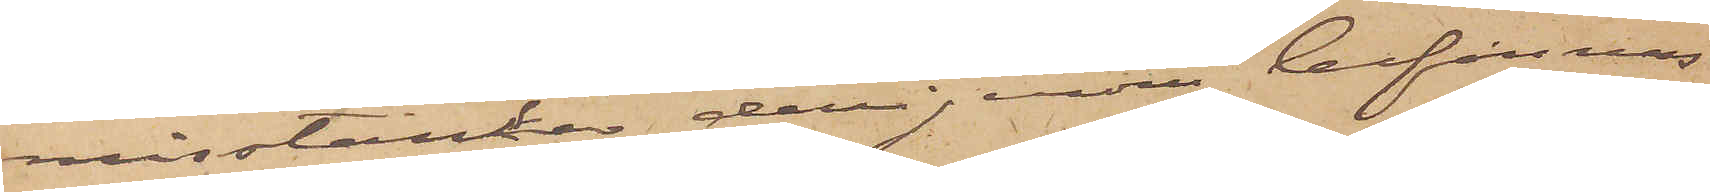misstänke derigenom befinnes
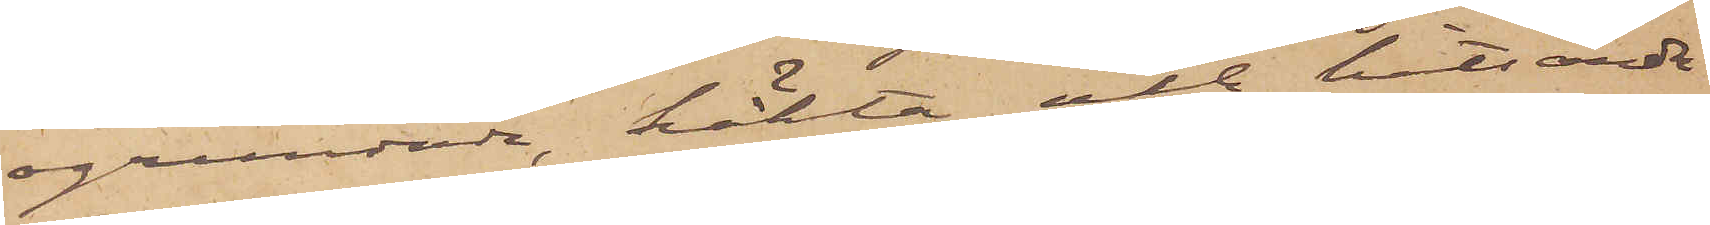ogrundad, häkta och hitsända
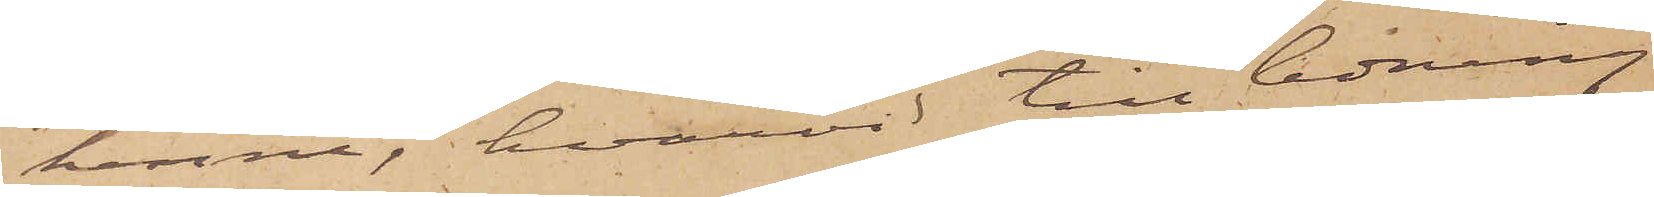henne, hvarvid till ledning
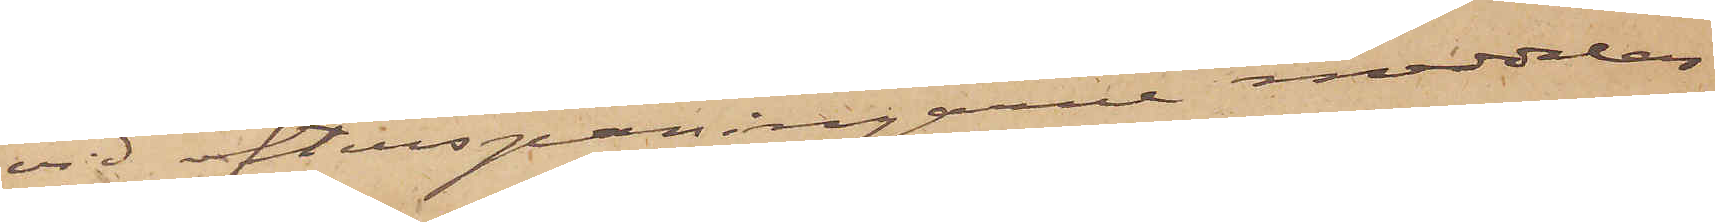vid efterspaningarne meddelas
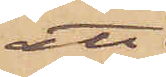att
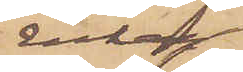Enkan
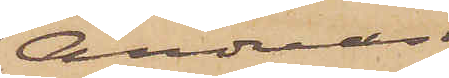Andreas¬
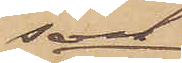son
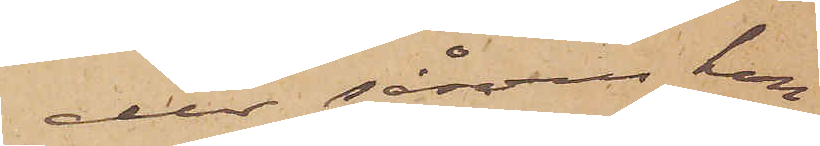eller såsom hon
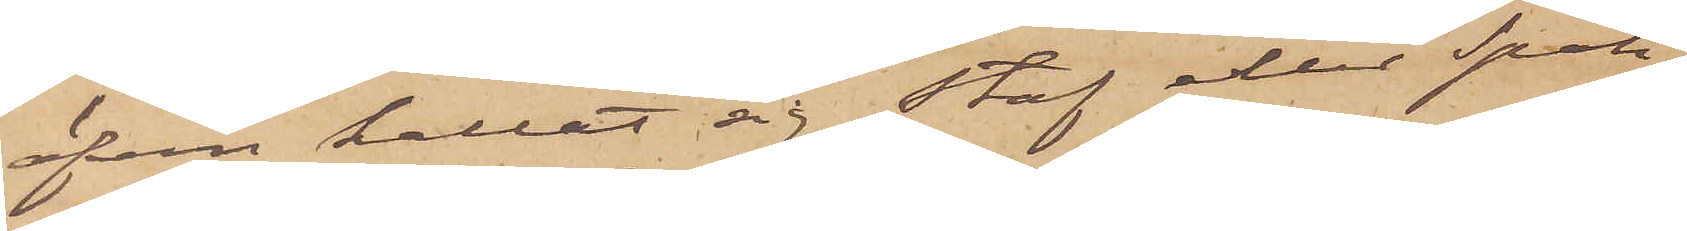äfven kallat sig Staf eller Spak,
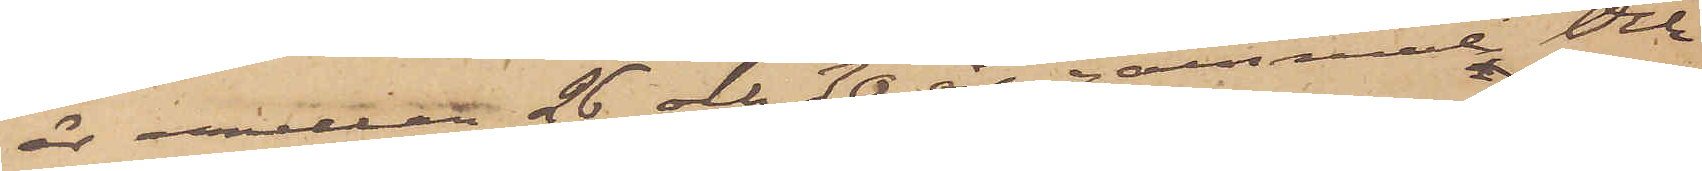är mellan 26 och 30 år gammal Och
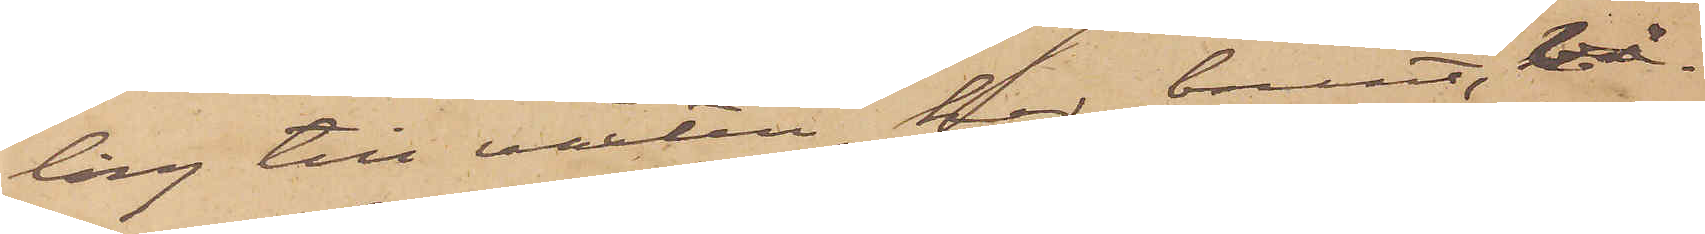lång till växten, har brunt, vå¬
